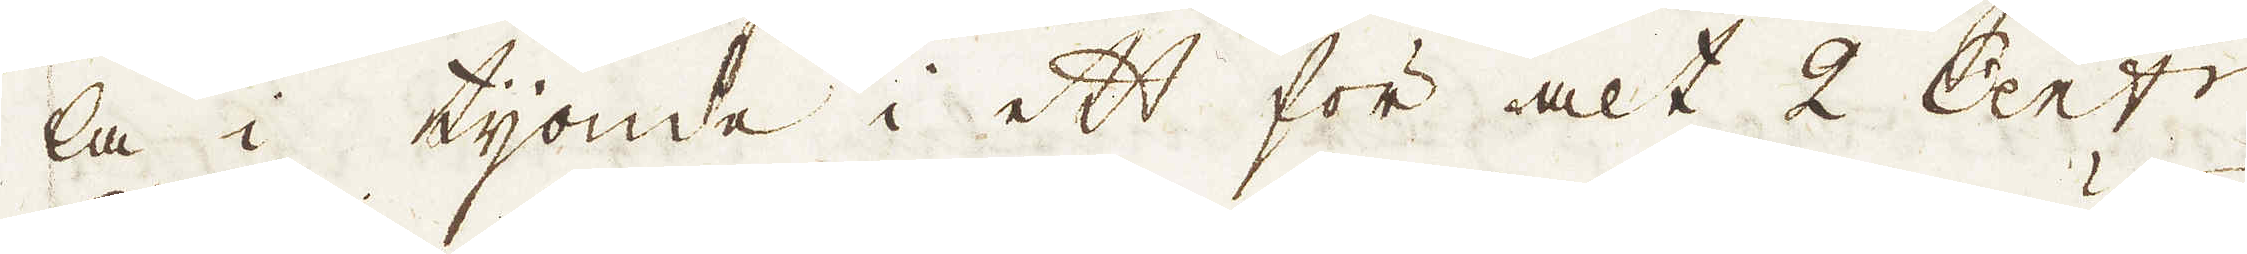la i tijonde i ett för alt 2 Cent:r
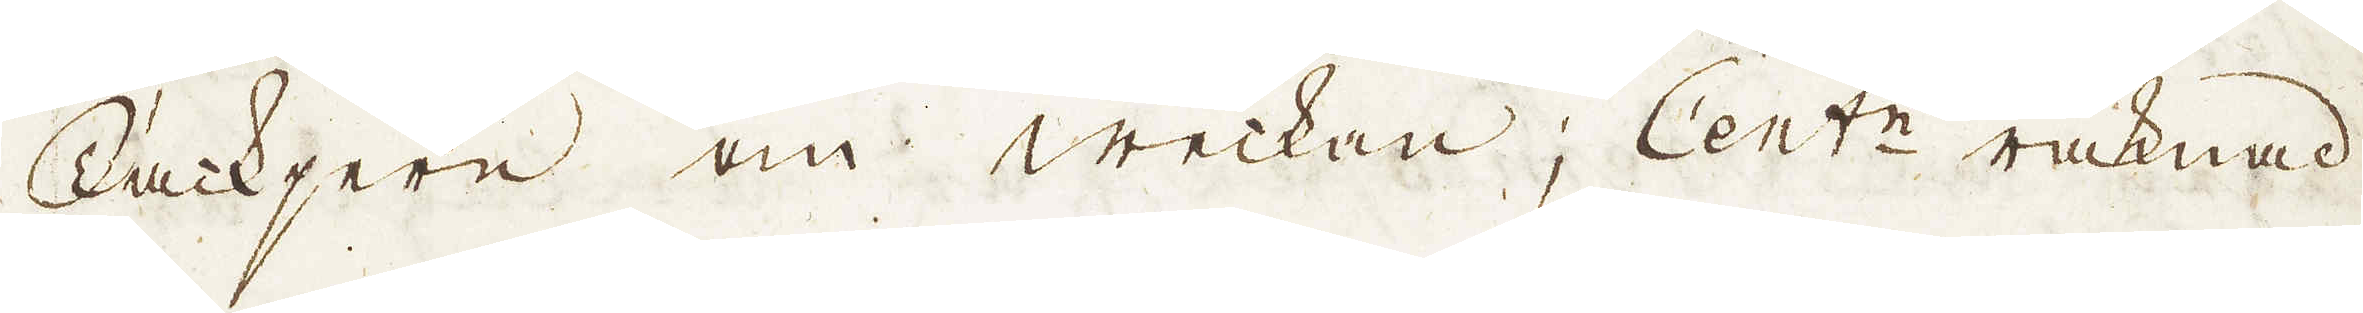Tackjern om weckan; Cent:n räknad
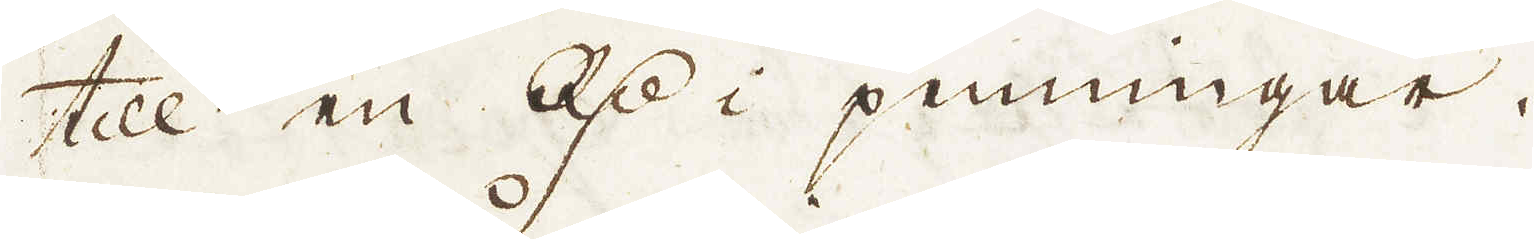till en R:dr i penningar.
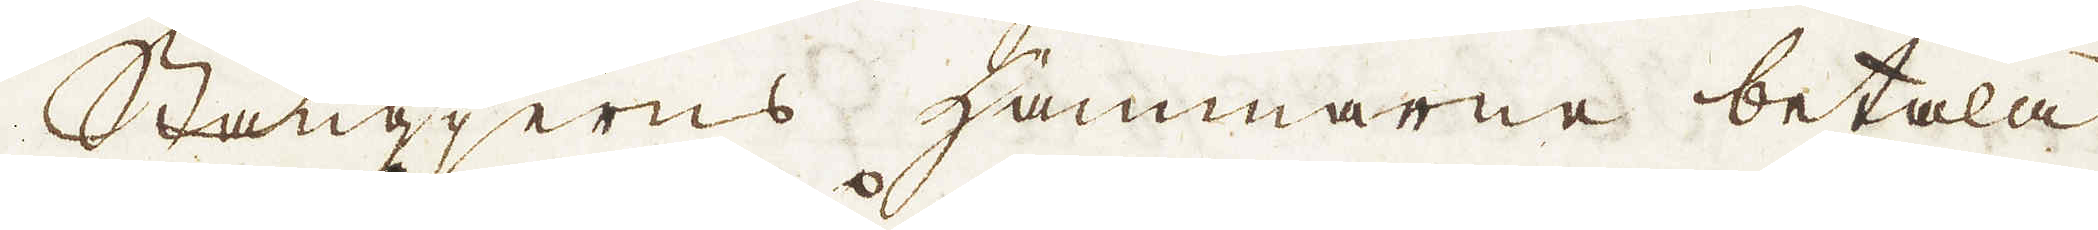Stångjerns hammarne betala
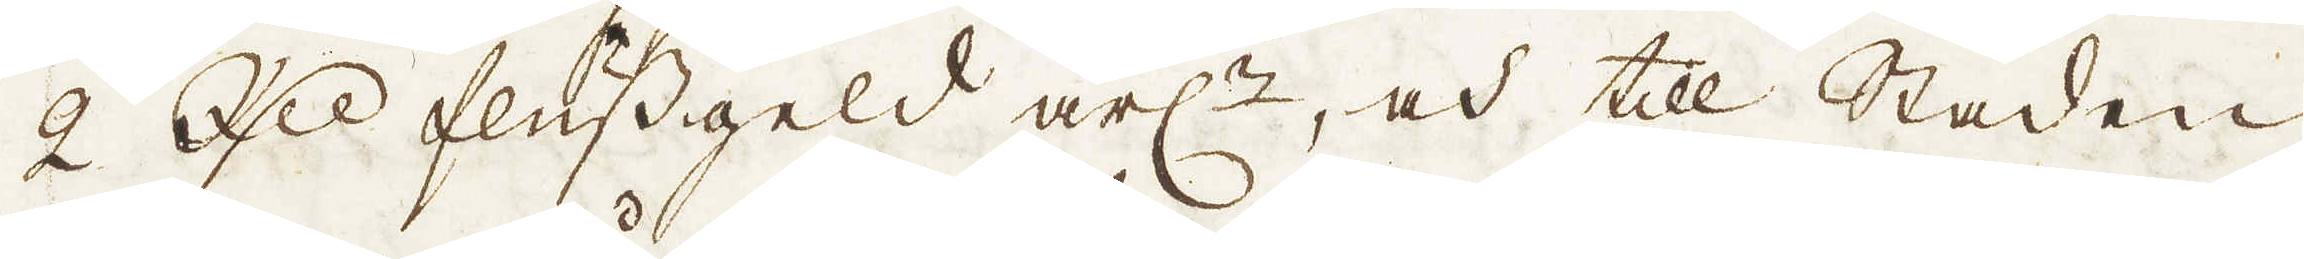2 R:dr flussgeld årl:n, och till Staden
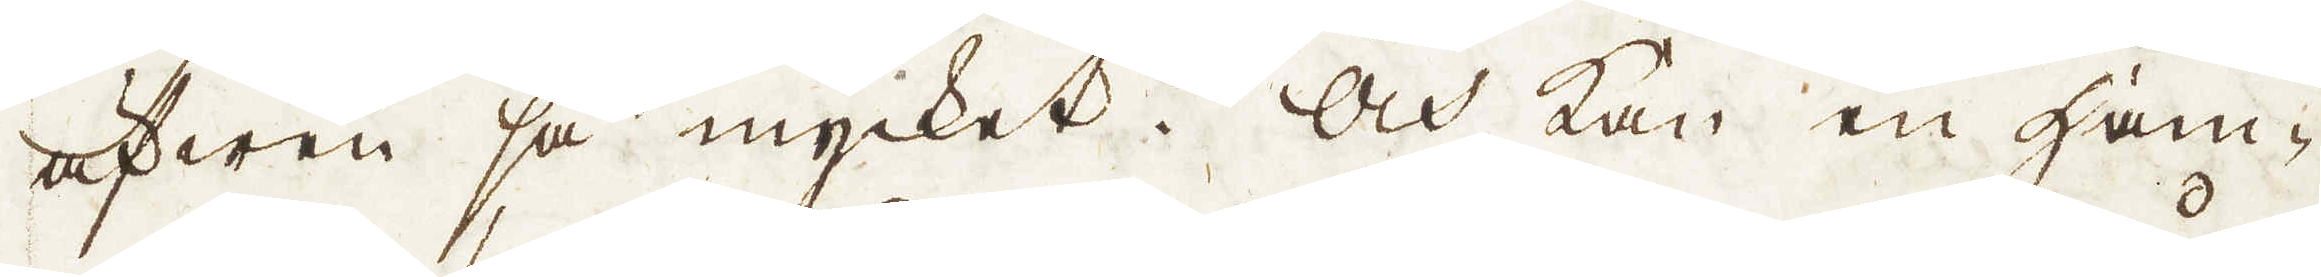äfwen så mycket. Och kan en ham-
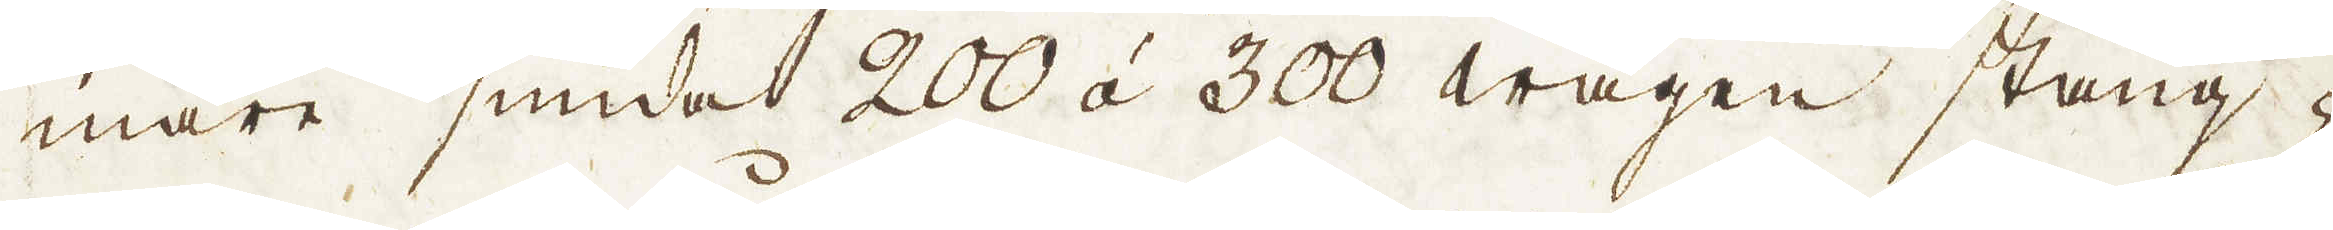mare smida 200 á 300 wagen stång-
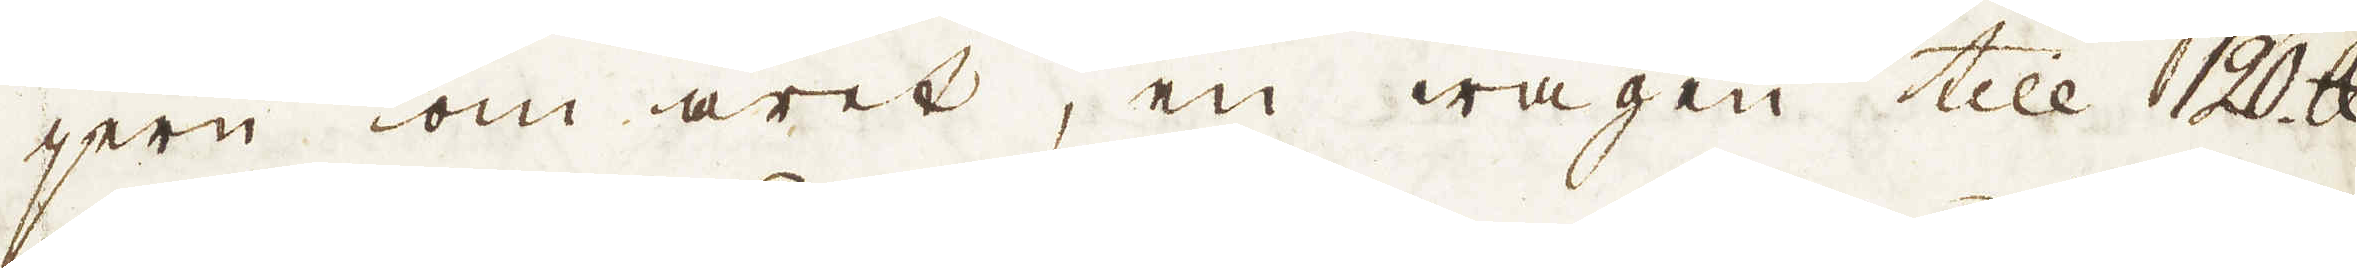jern om året, en wagen till 120 skålpund.
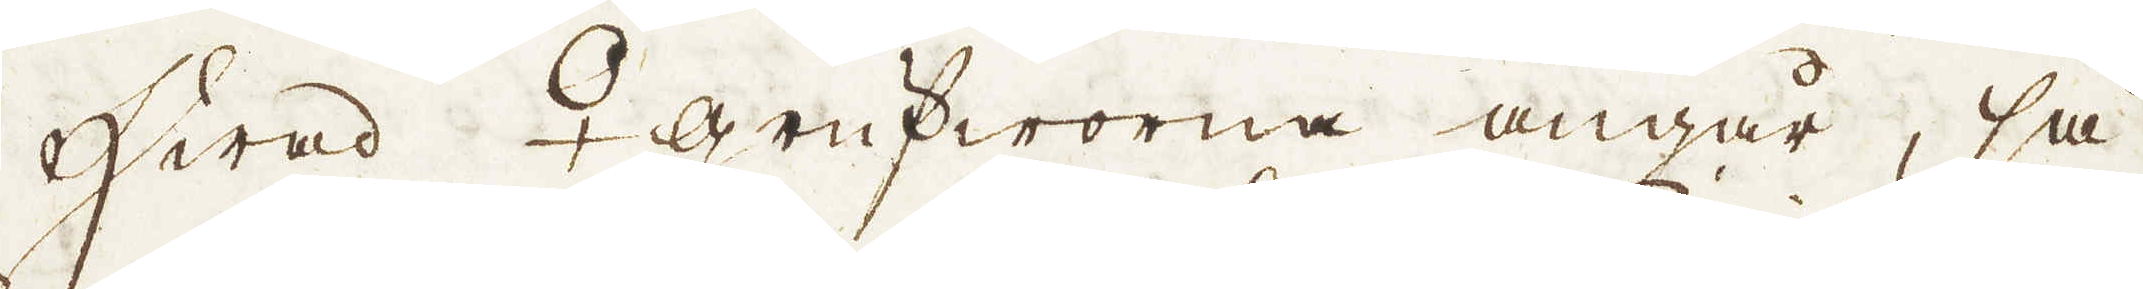Hwad ♀ grufworna angår, så
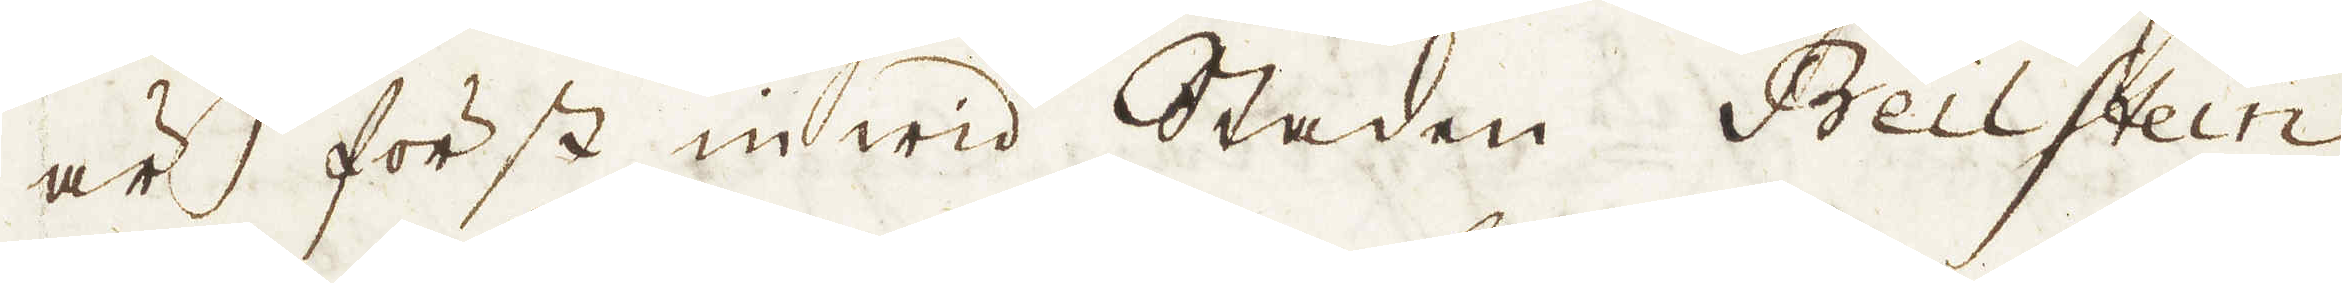är först in wid Staden Beilstein
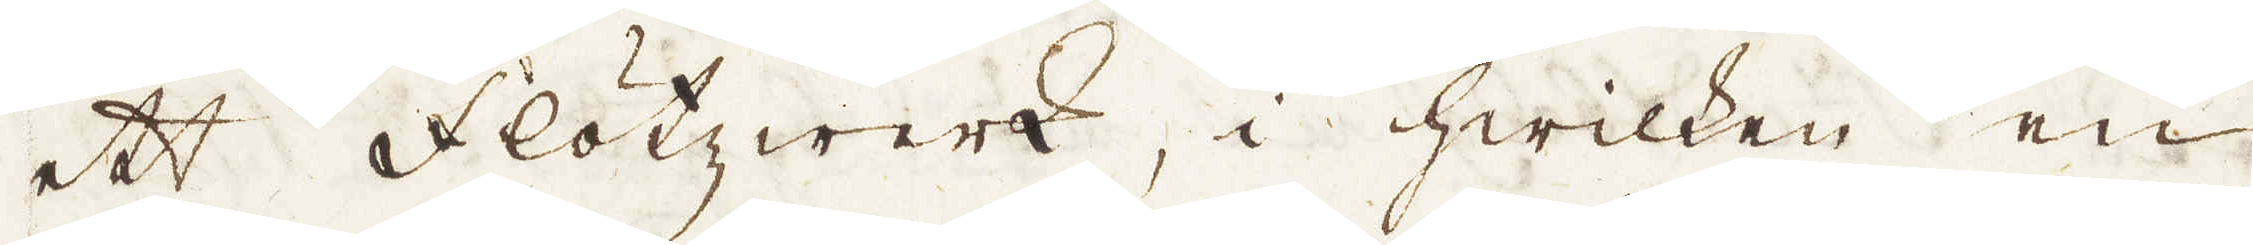ett Flötzwerk, i hwilken en
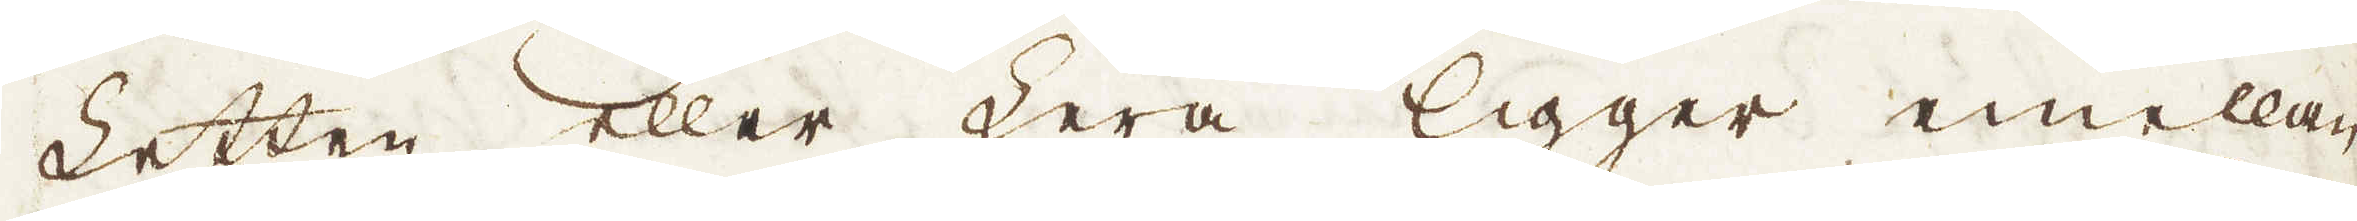Letten eller Lera ligger emellan
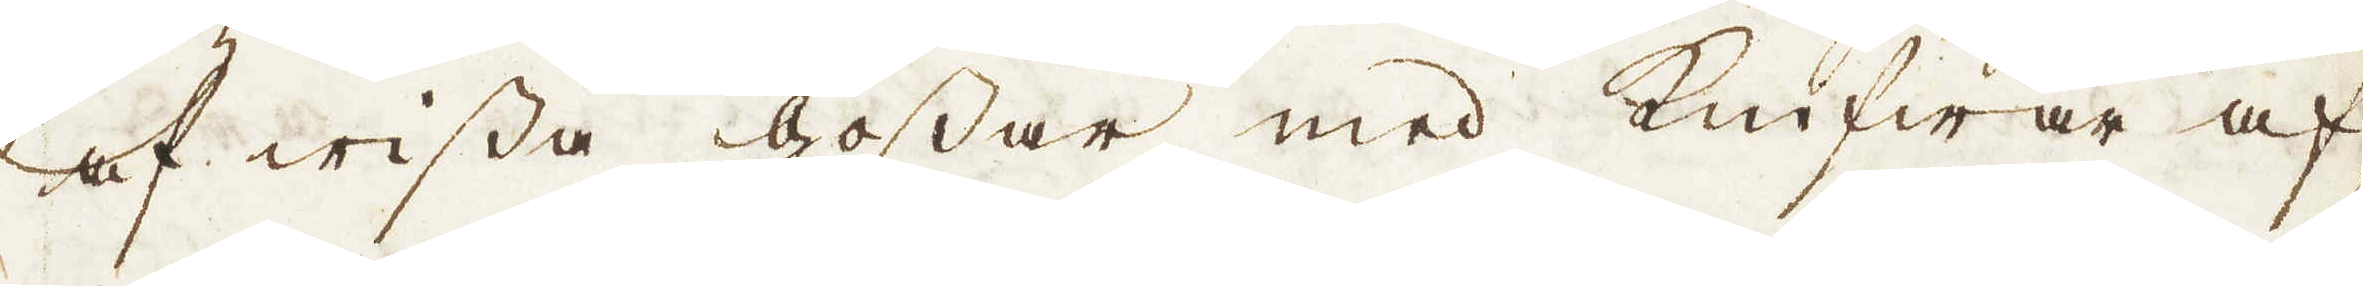af wissa gossar med Knifwar af,
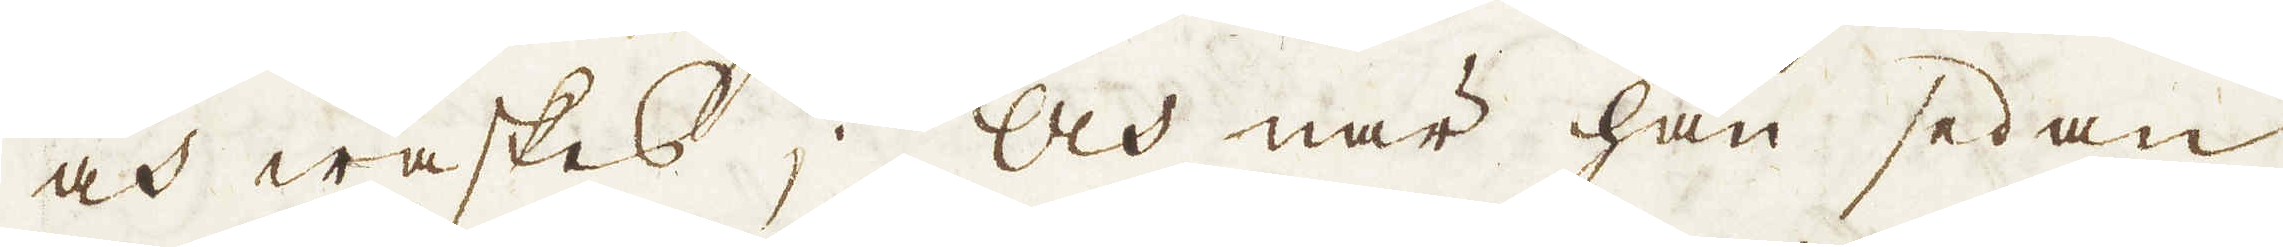och waskes; Och när han sedan
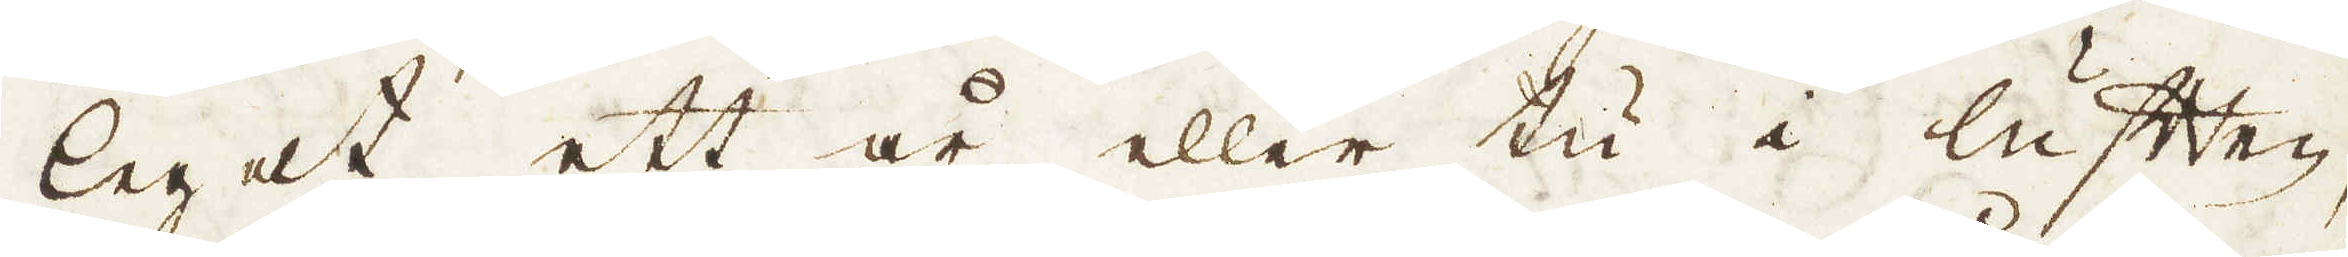leget ett år eller tu i luften,
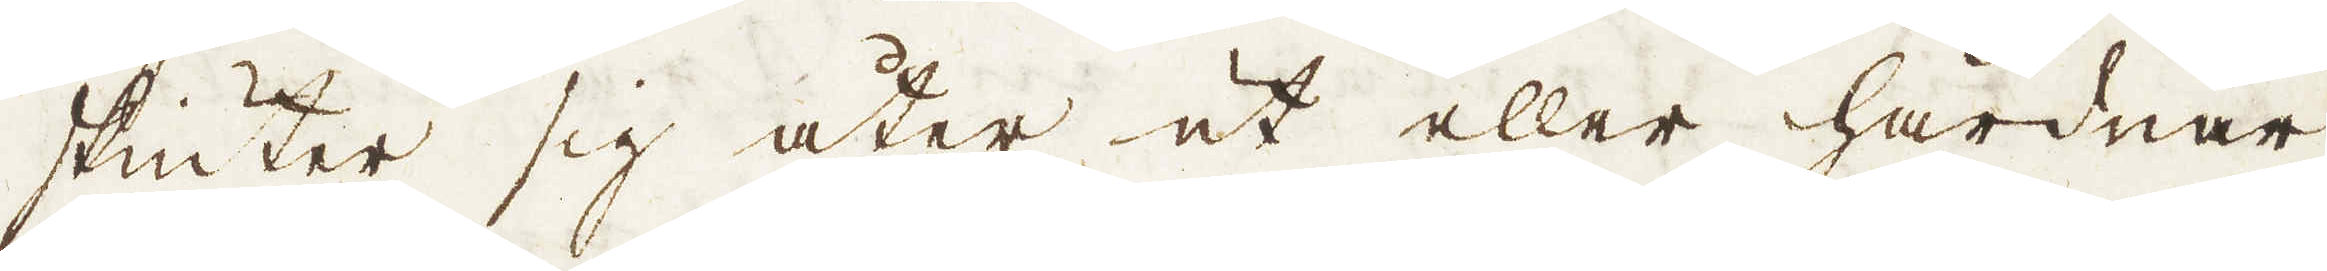skiuter sig åter ut eller hårdnar
